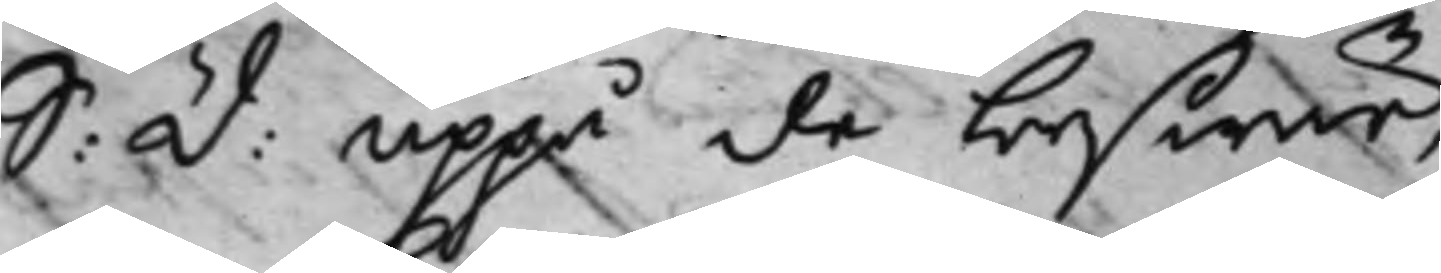S: d: uppå de beswär,
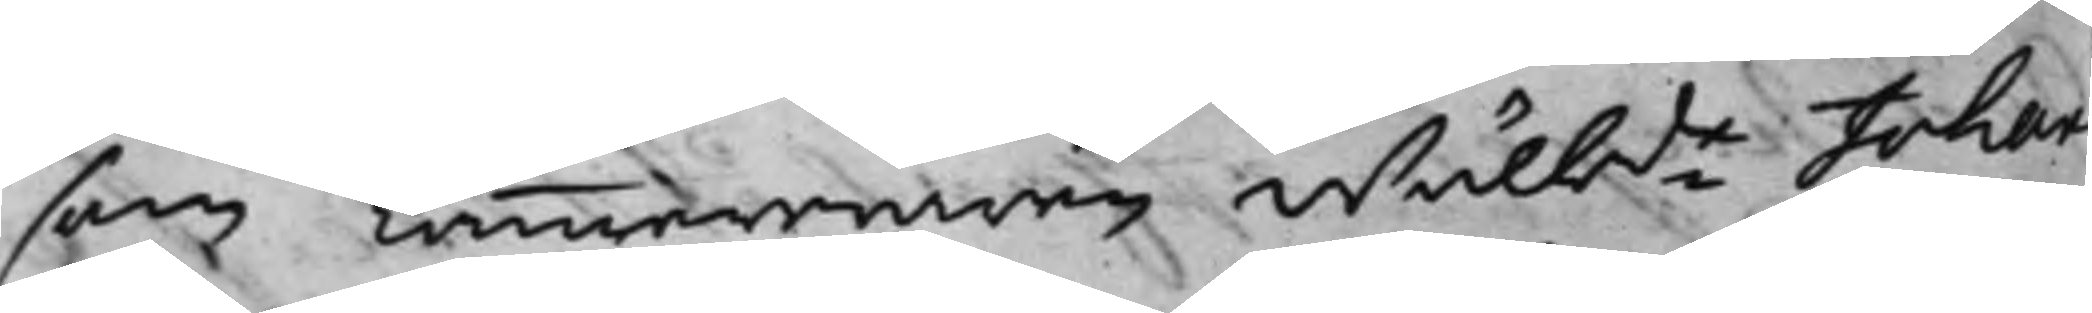som Cammereraren Wälbde Johan
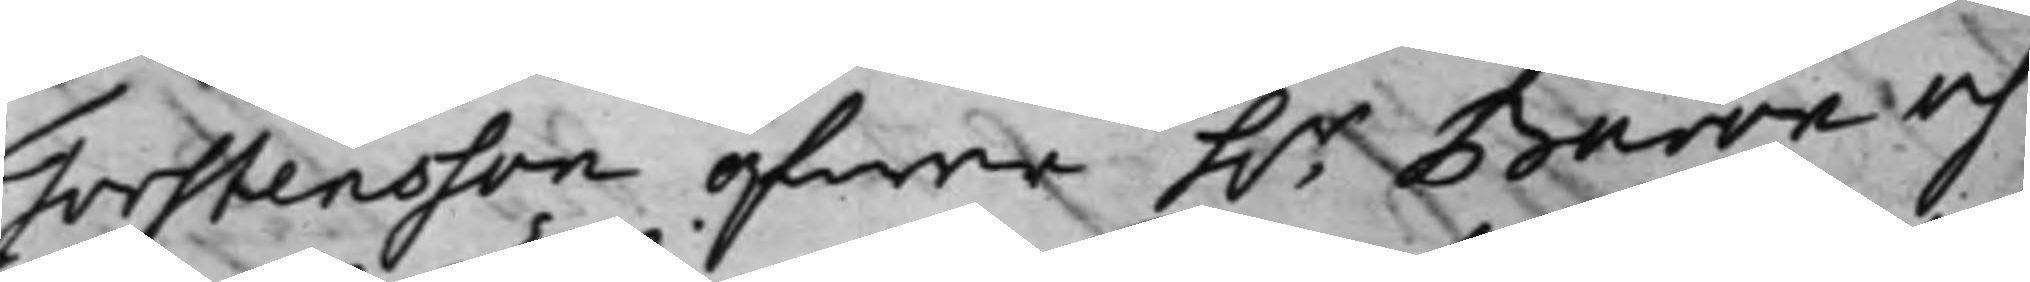Torstensson öfwer h.r Baron och
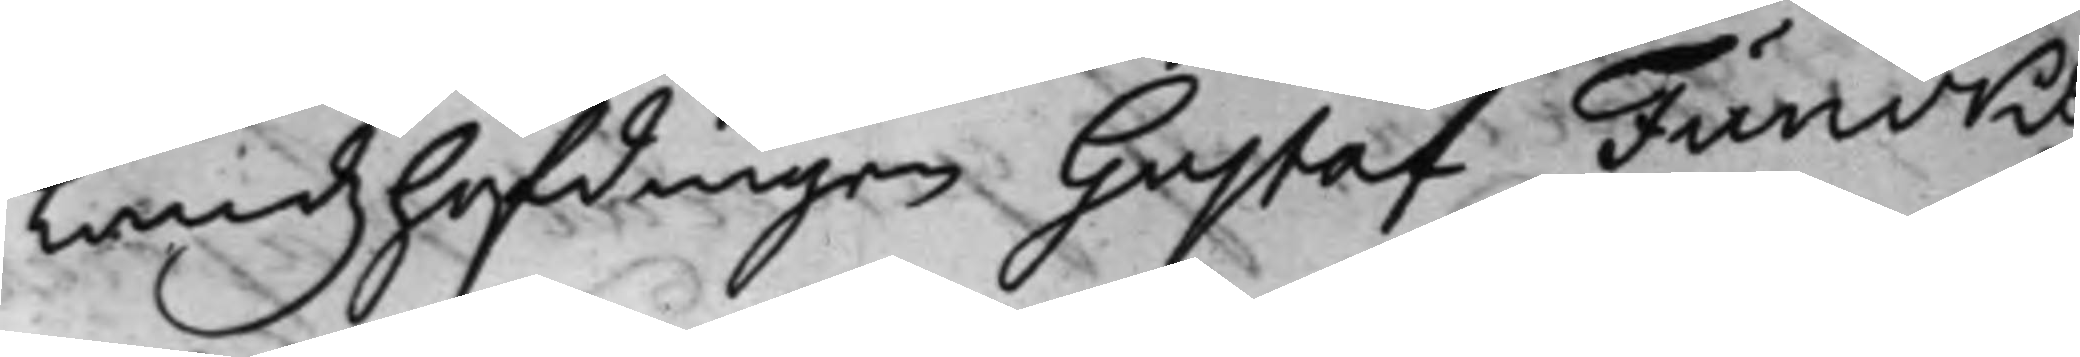Landzhöfdingen Gustaf Funcks
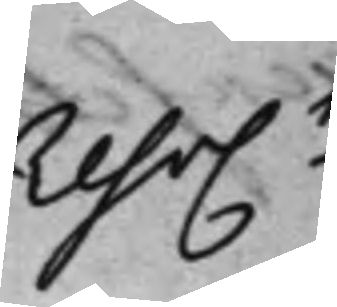reso.n
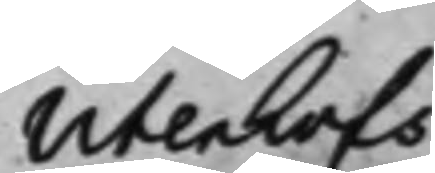Utenkofs
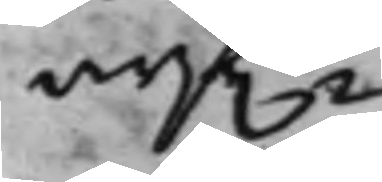arf.r
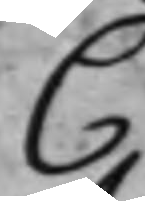C.
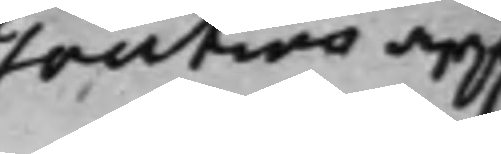Toutins arf.
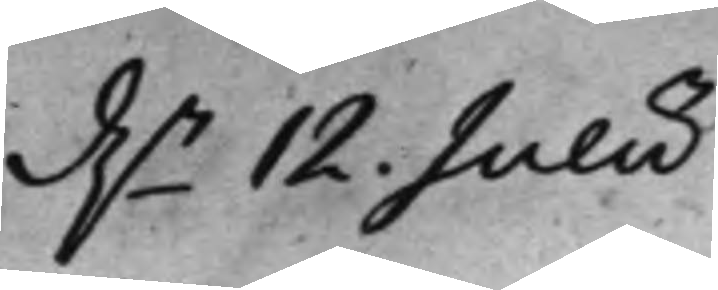d.n 12 Julii
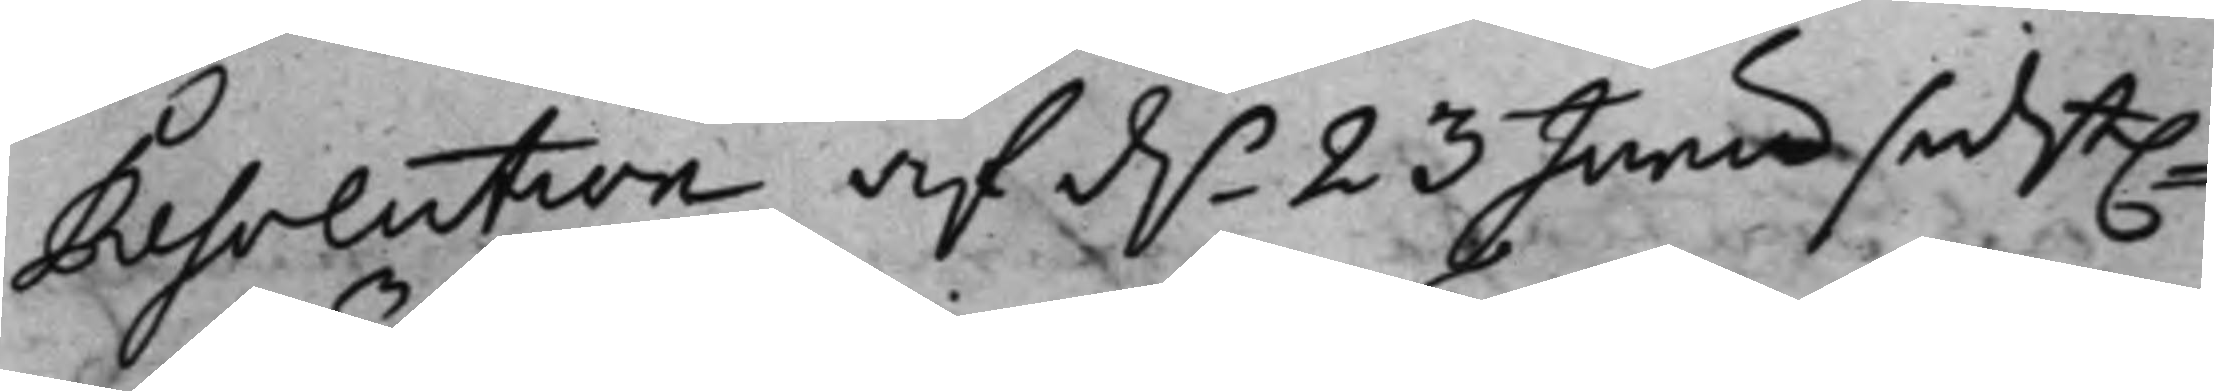Resolution af d.n 23 Junii sidst.e
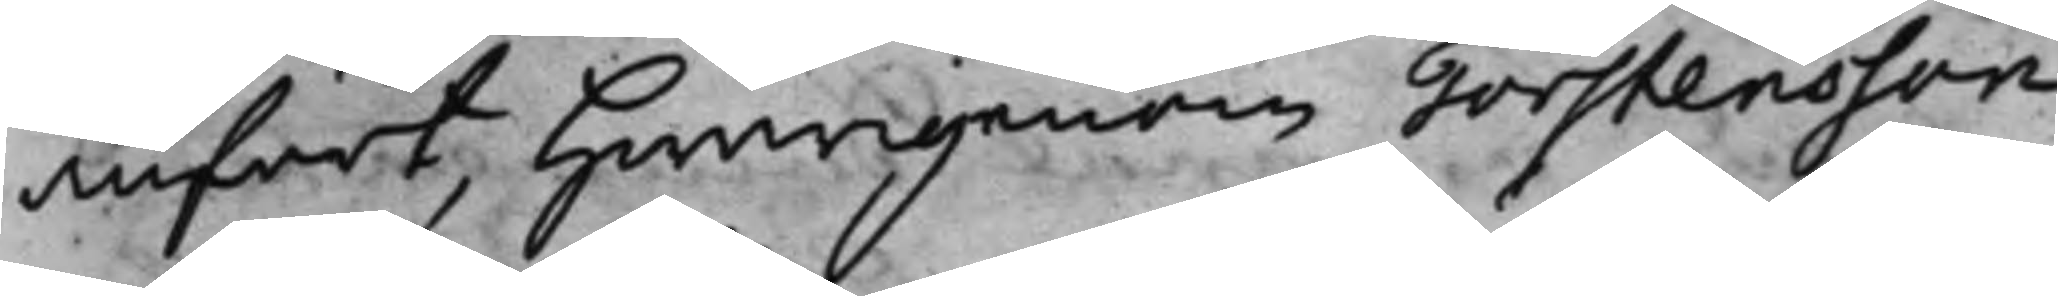anfört, hwarigenom Torstensson
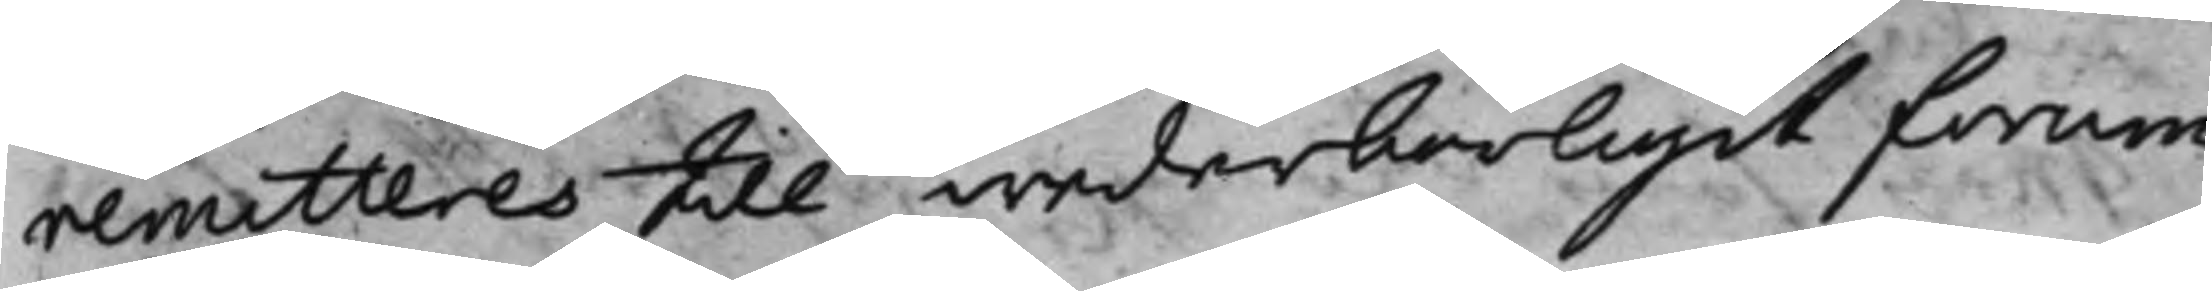remitteres till wederbörligit forum,
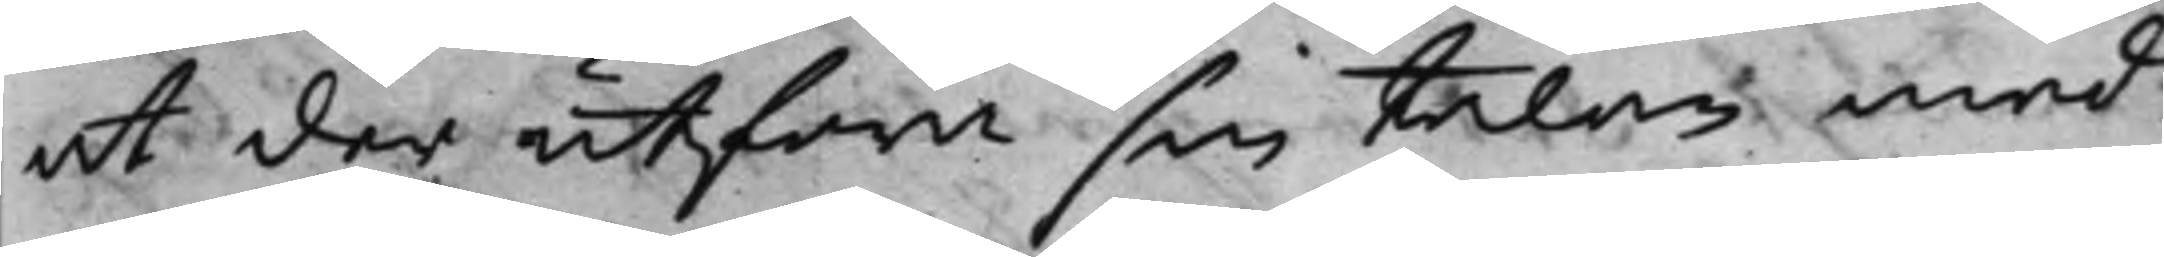at der utföra sin talan med
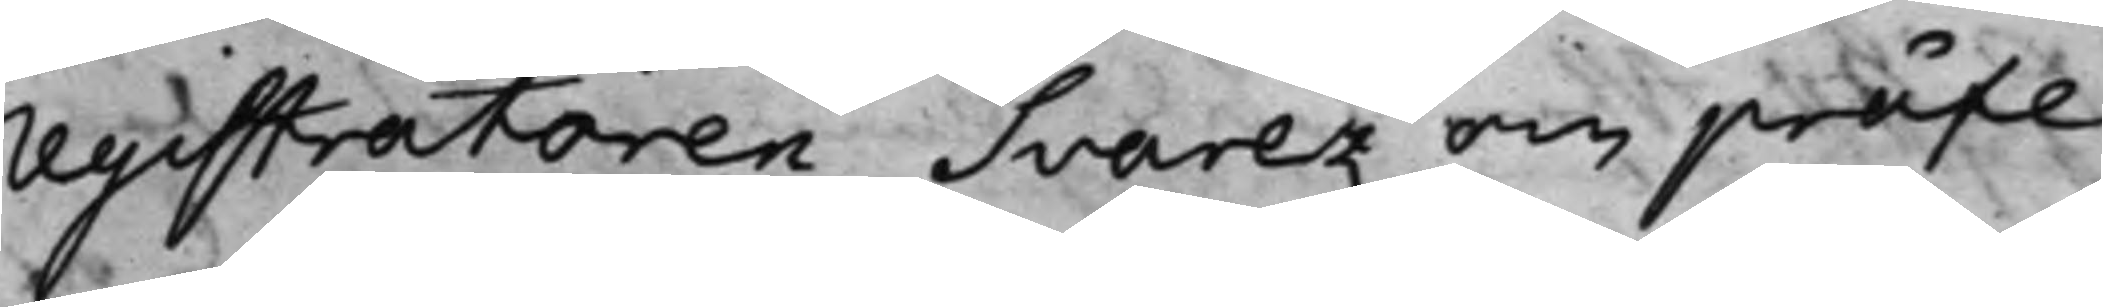registratoren Svarez om präfe¬
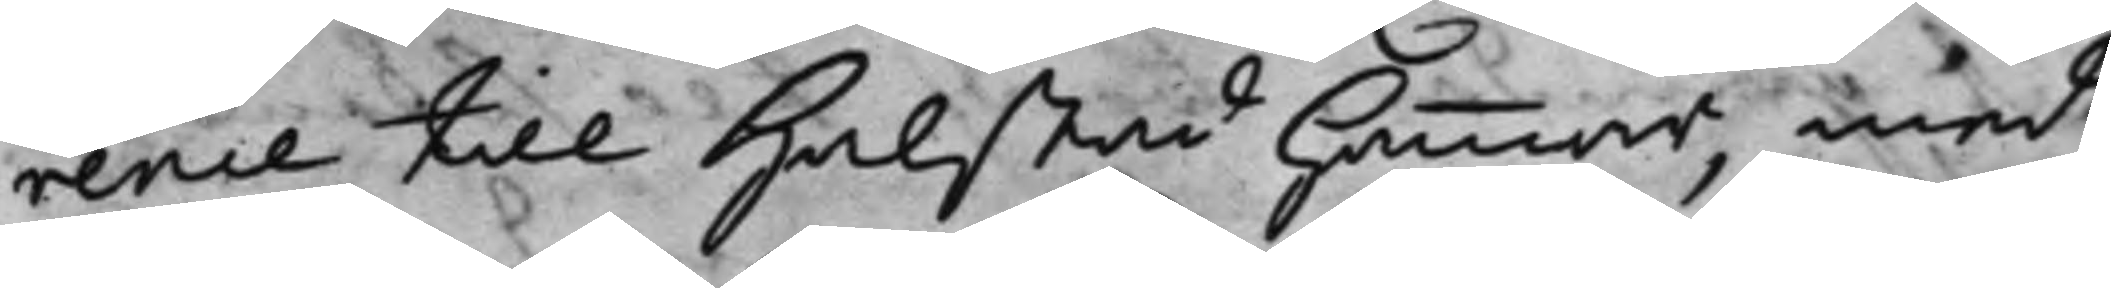rence till Halstad hammar med
